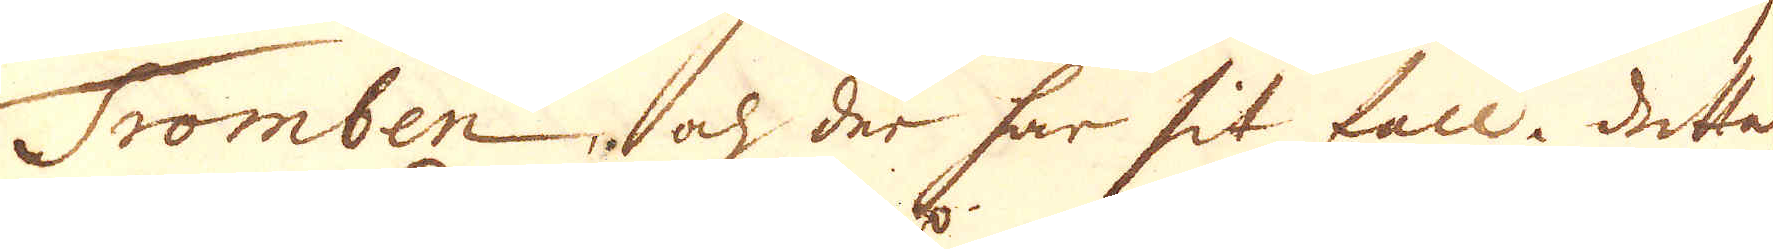Tromben, och der har sit fall. Detta
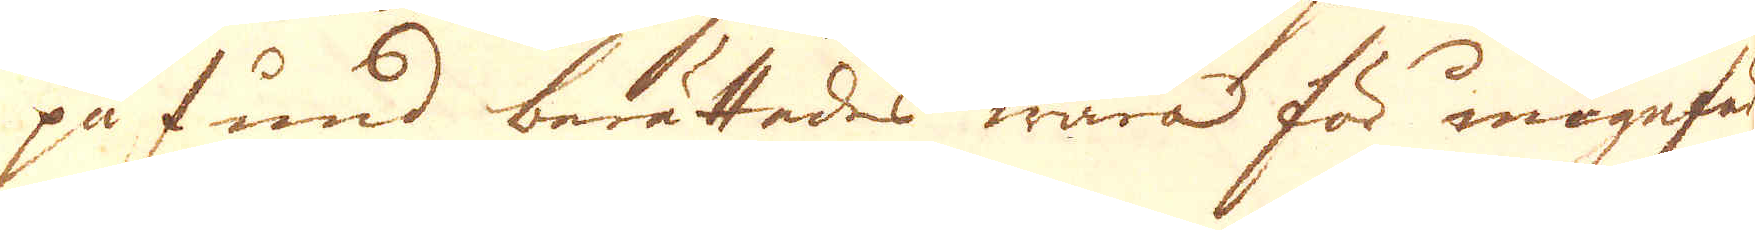påfund berättades wara för ungefär
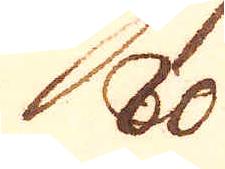80.
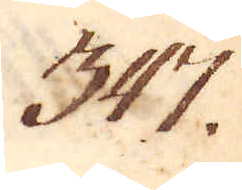347.
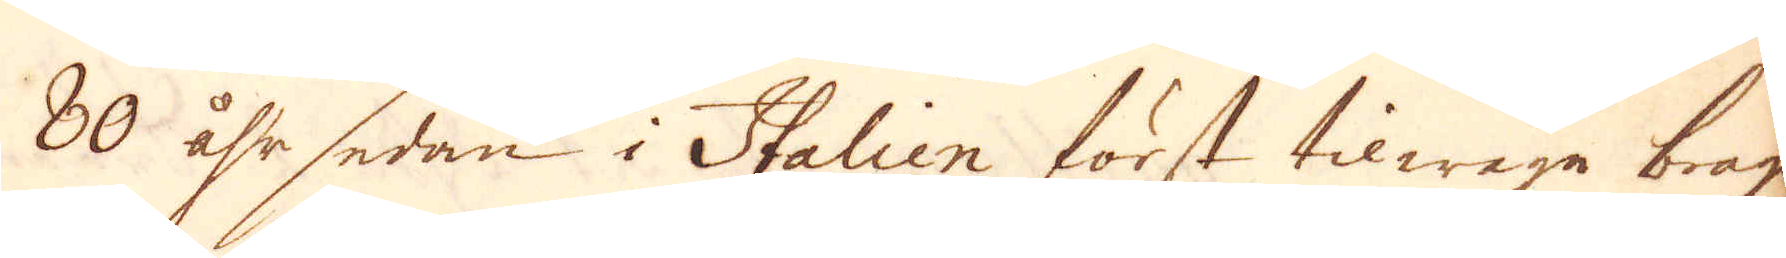80 åhr sedan i Italien först tilwäga brag
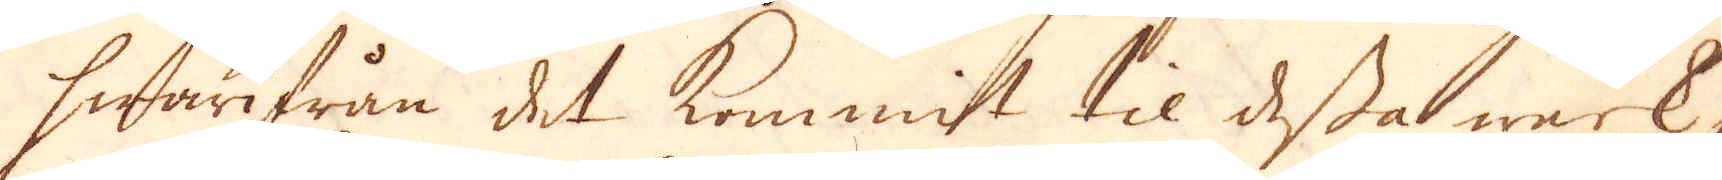hwarifrån det kommit til dessa werk,
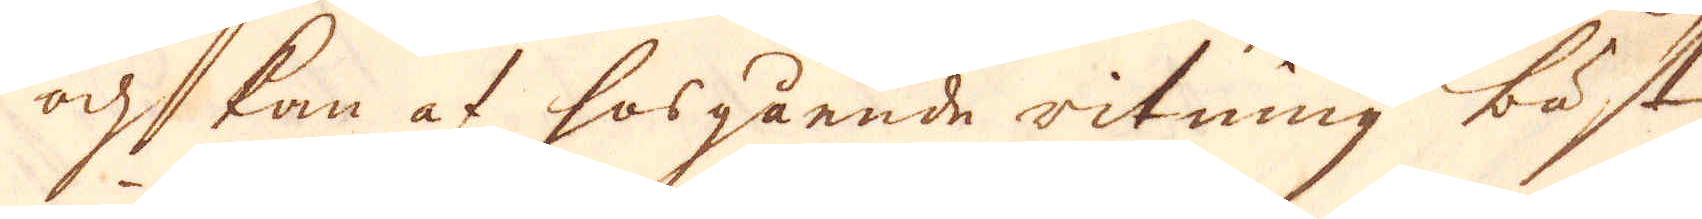och kam af hosgående ritning bäst
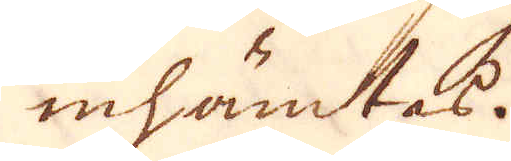inhämtas.
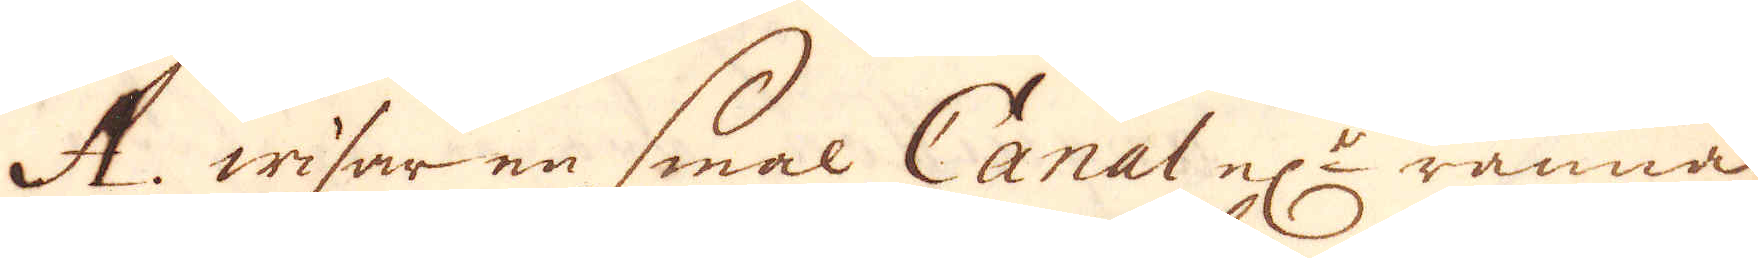A. wisar en smal Canal el:r ränna
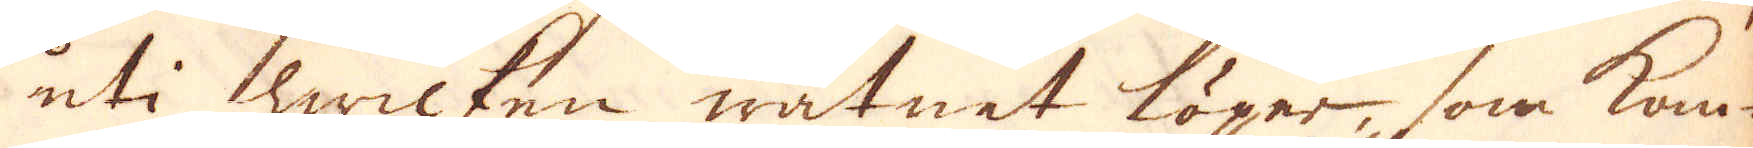uti hwilken watnet löper, som kom-
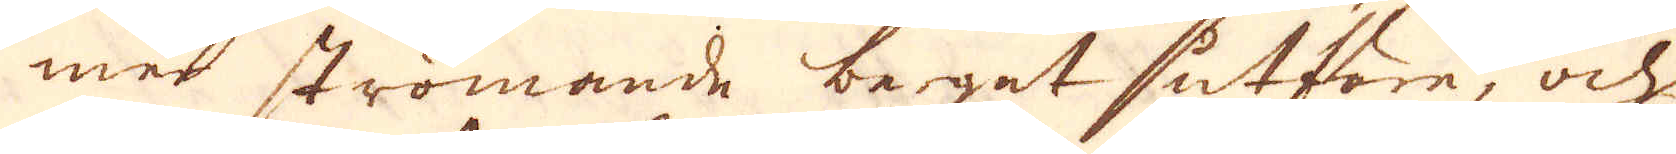mer strömande berget utföre, och
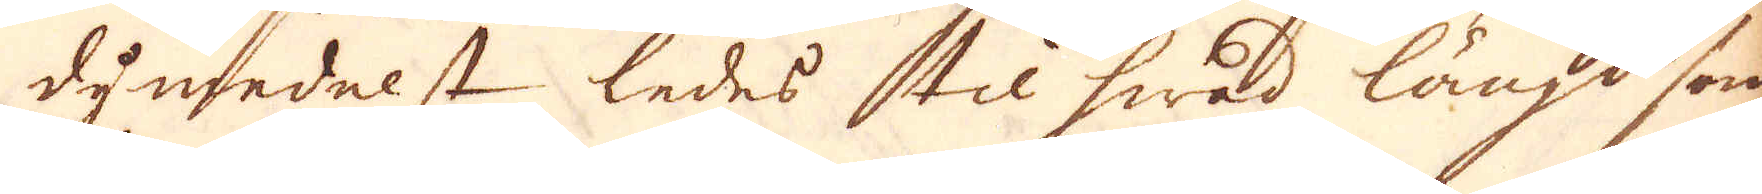dymedelst ledes til hwad längd som
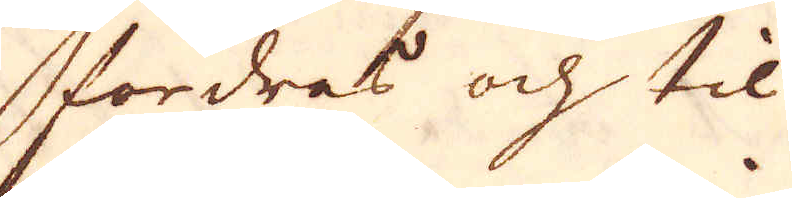fordras och til
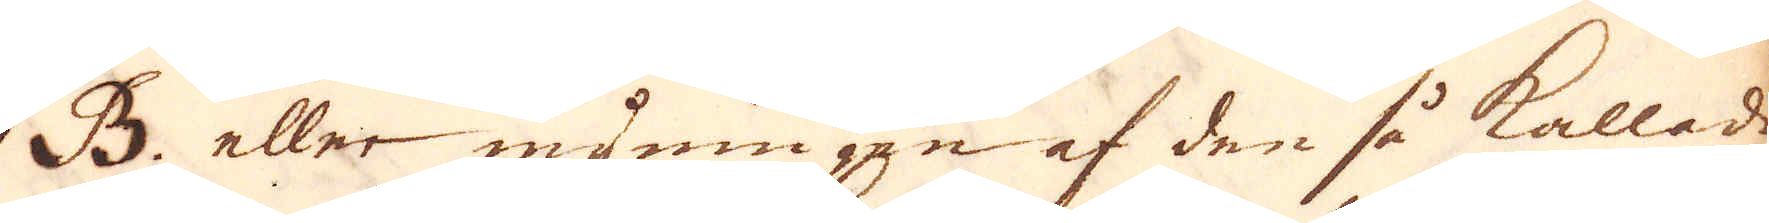B. eller myningen af den så kallade
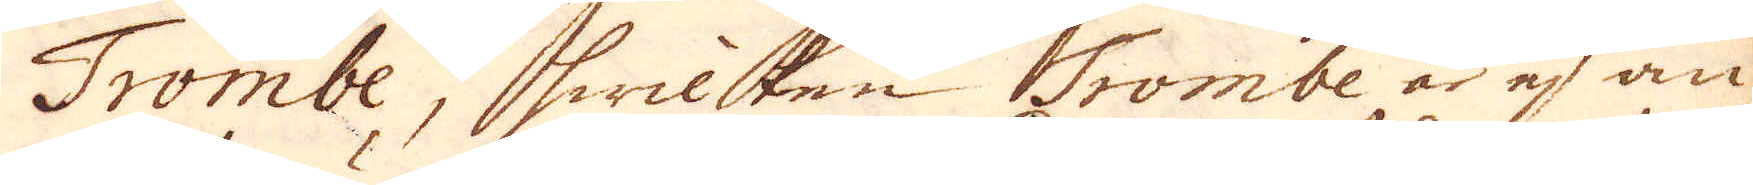Trombe, hwilken Trombe är ej an-
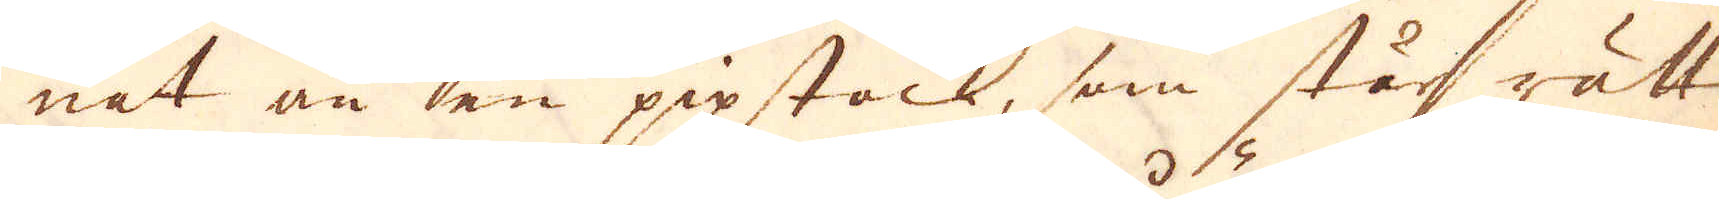nat än en pipstack, som står rätt
